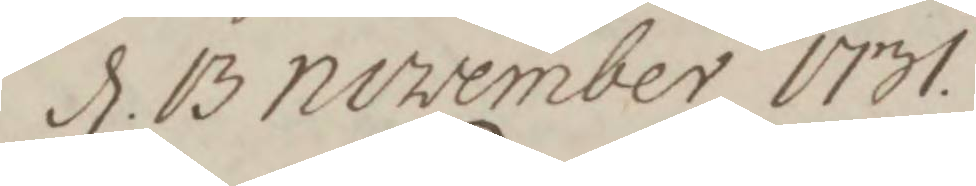d. 13 november 1731.
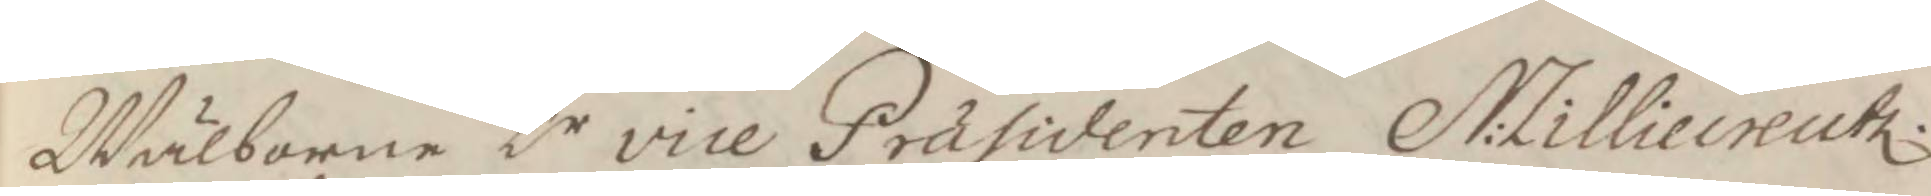Wälborne hr vice Præsidenten N: Lilliecreutz
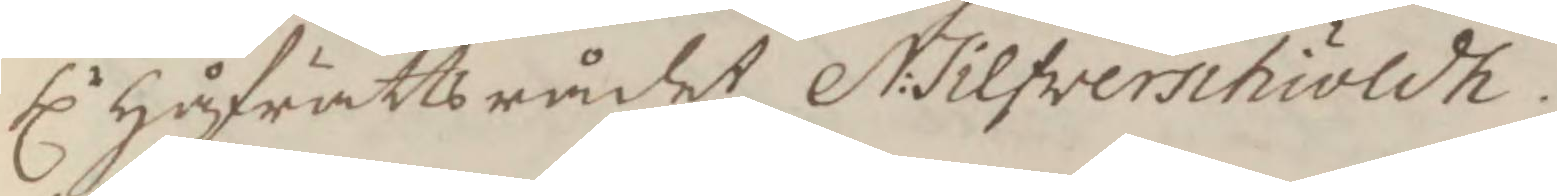Hlr Håfrättsrådet N: Silfwerschöldh.
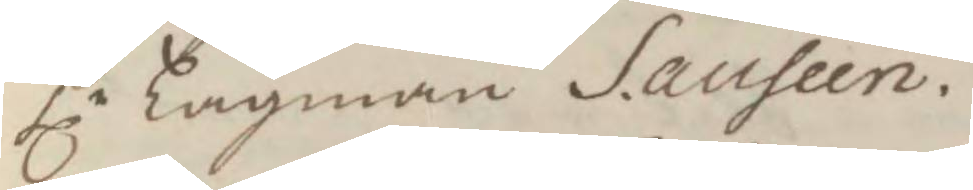Hlr Lagman S. auseen.
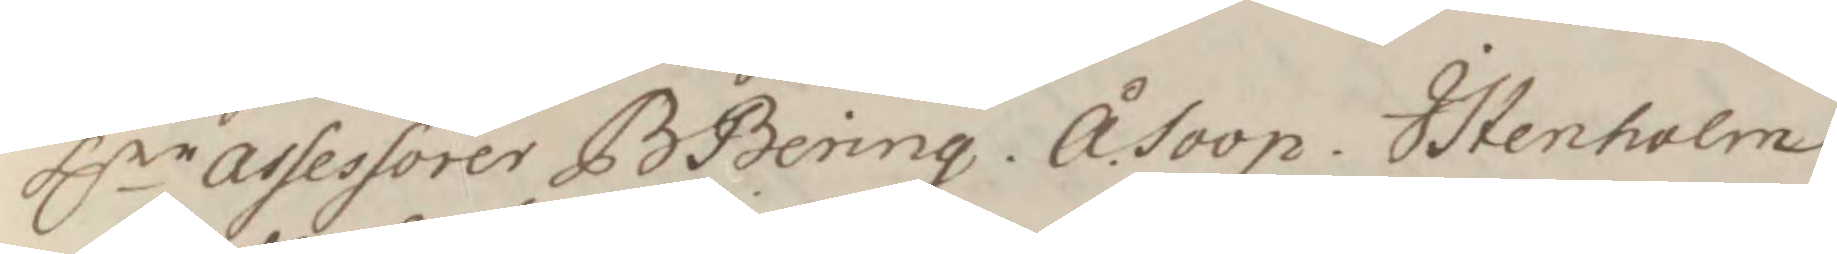Hlr assessorer B Bering. Å. Soop. I. Stenholm
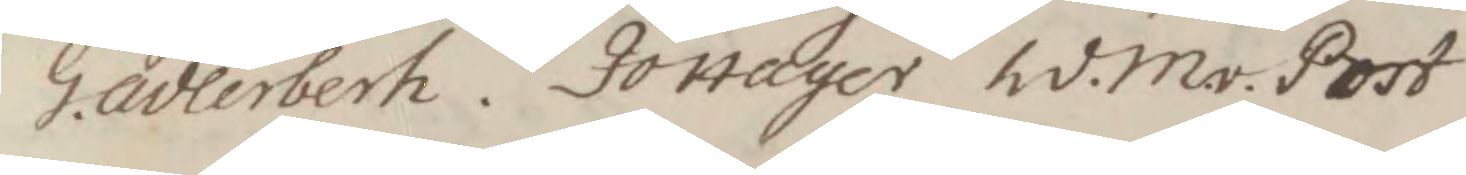G. adlerberh. Jo Hager hd. M.v.Post
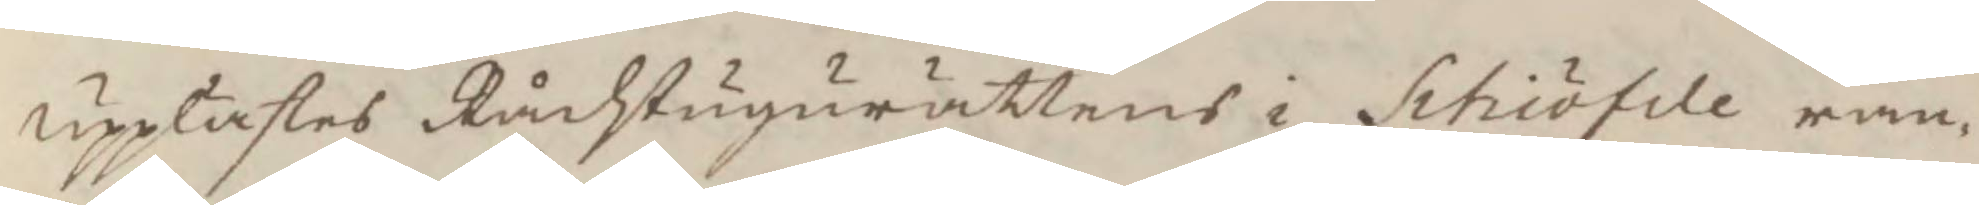upplästes Rådhstugurättens i Schiöfde ran¬
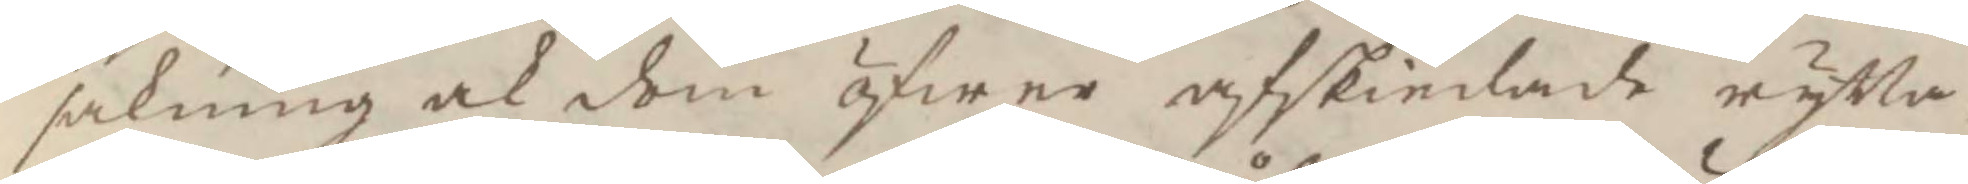sakning ock dom öfwer afskiedade rytta¬
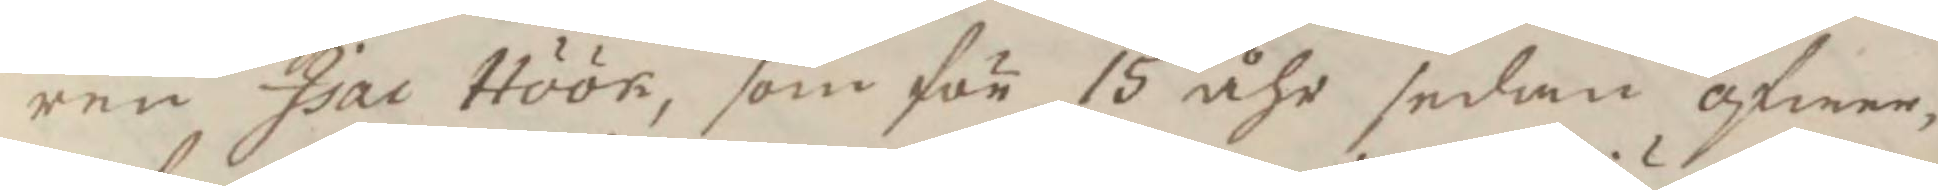ren Isac Höök, som för 15 åhr sedan öfwer¬
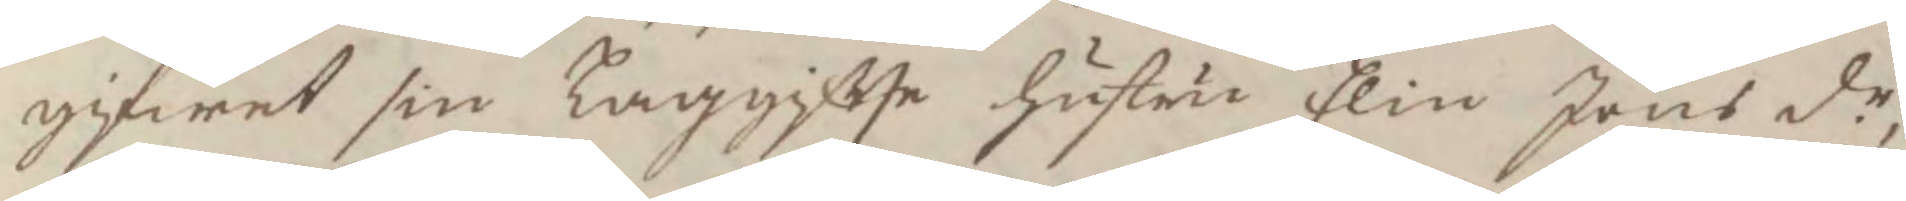gifwit sin Laggifte hustru Elin Jöns dr,
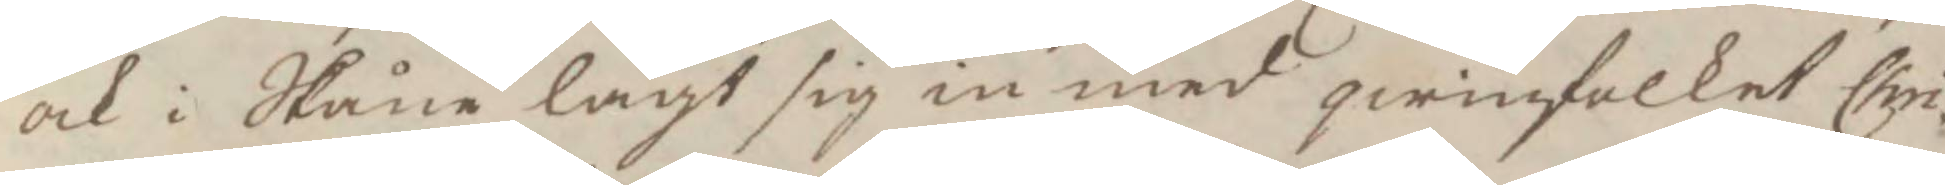ock i Skåne lagt sig in med qwinfolket Chri¬
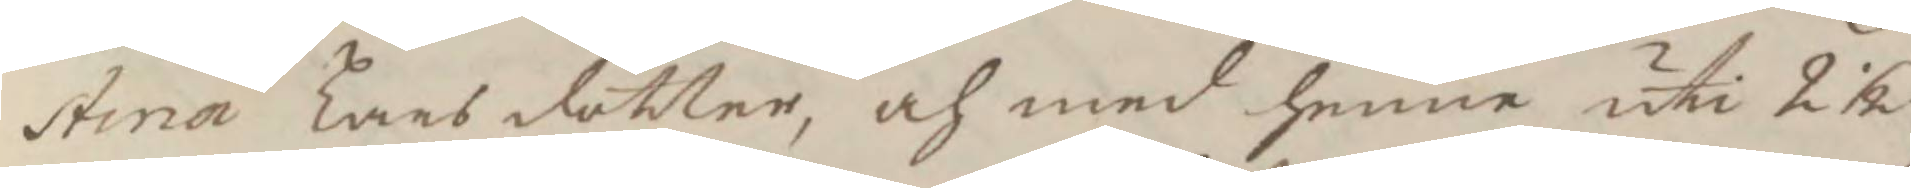stina Larsdotter, och med henne uti 2½
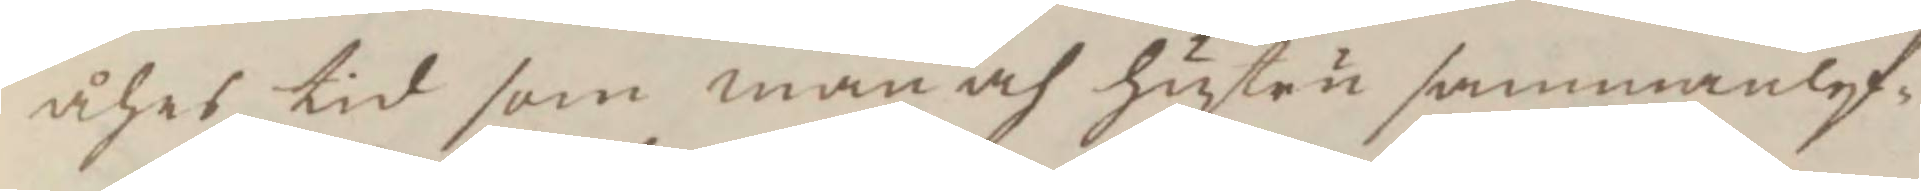åhrs tid som man och hustru sammanlef¬
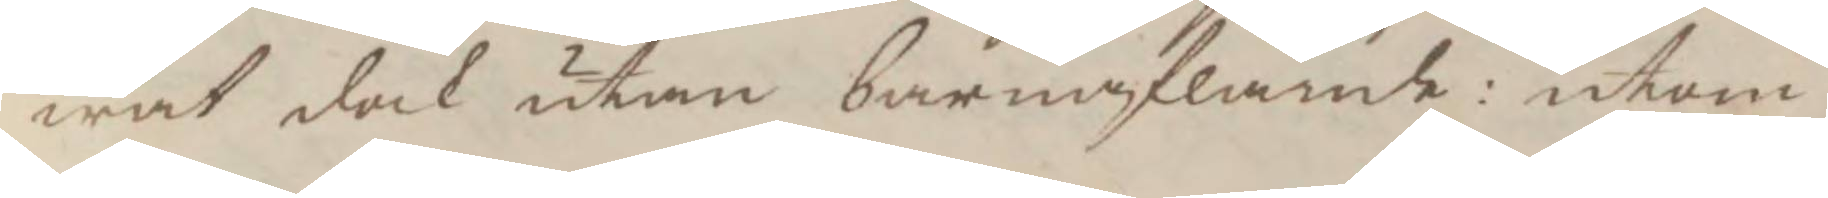wat dock utan barnaflande: utom
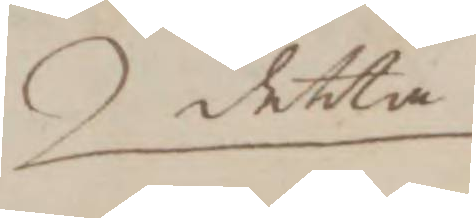detta
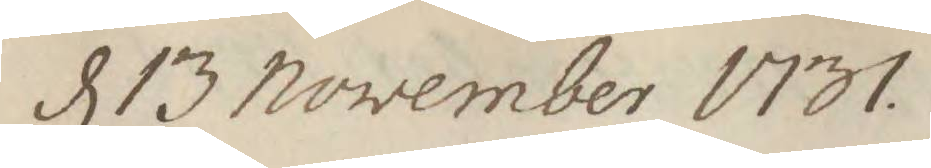d 13 november 1731.
